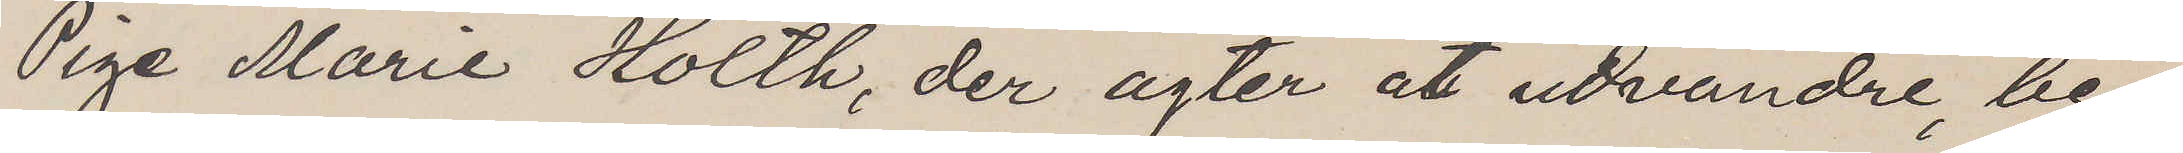Pige Marie Holth, der agter at utvandre, be¬
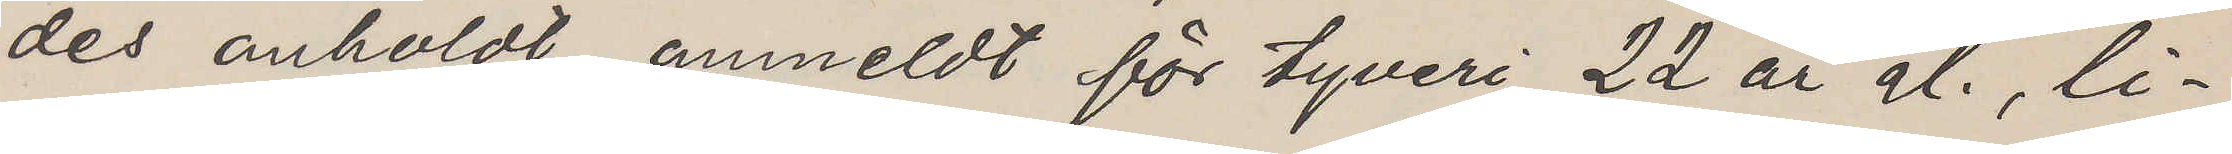des anholdt, anmeldt för tyveri, 22 år gl., li¬
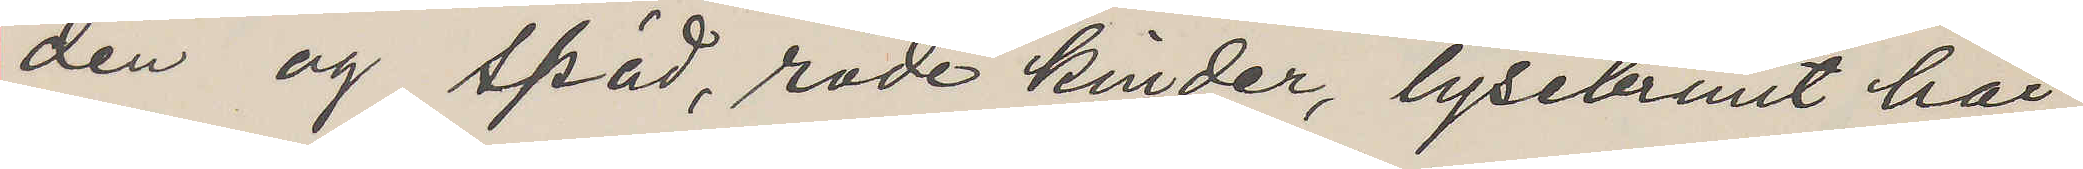den og späd, röde kinder, lysebrunt hår,
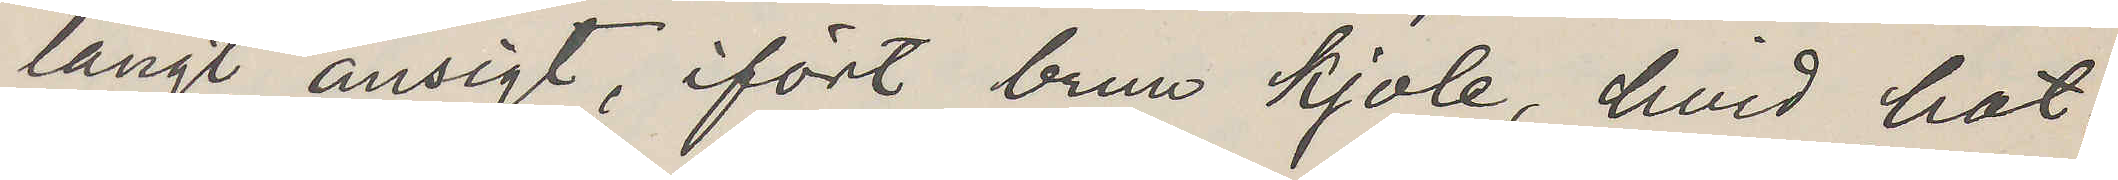langt ansigt, ifört brun kjole, hvid hat,
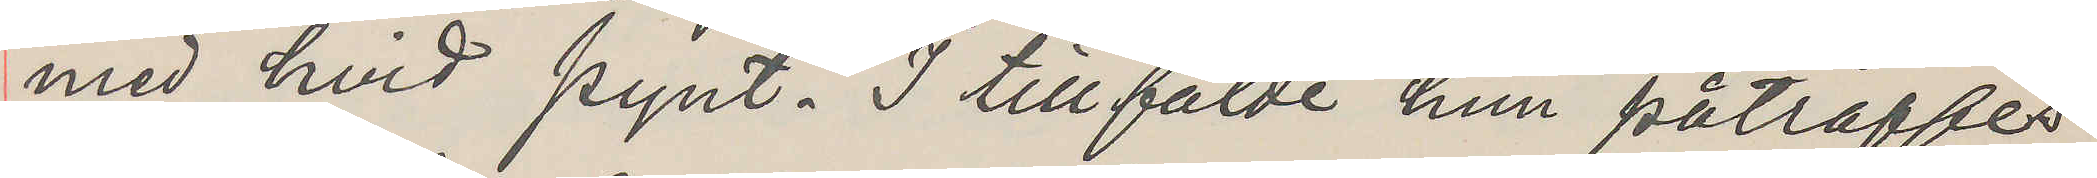med hvid pynt. I tillfälde hun påträffes
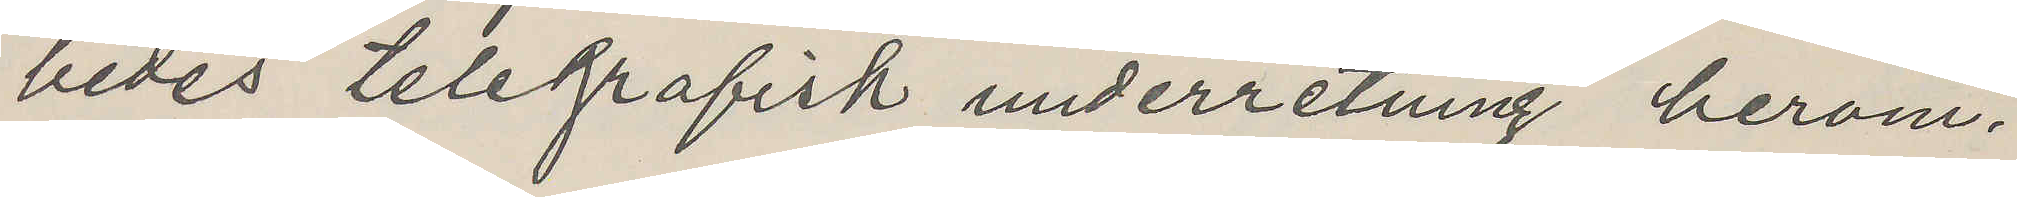bedes telegrafisk underretning herom.
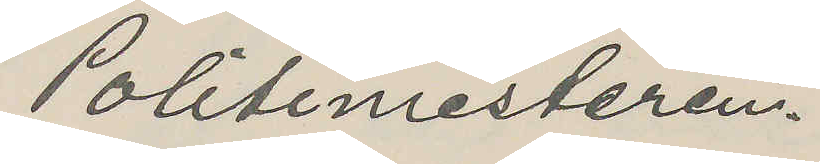Politimesteren.
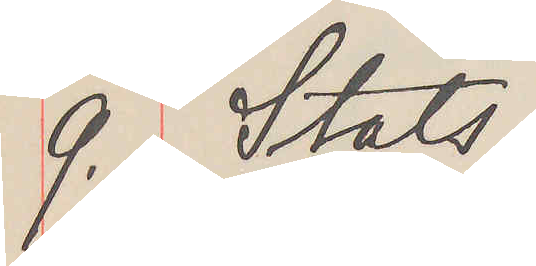9.  Stats.
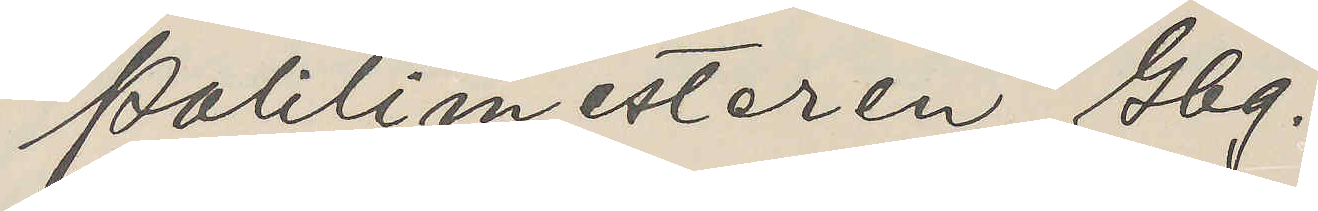Politimesteren, Gbg.
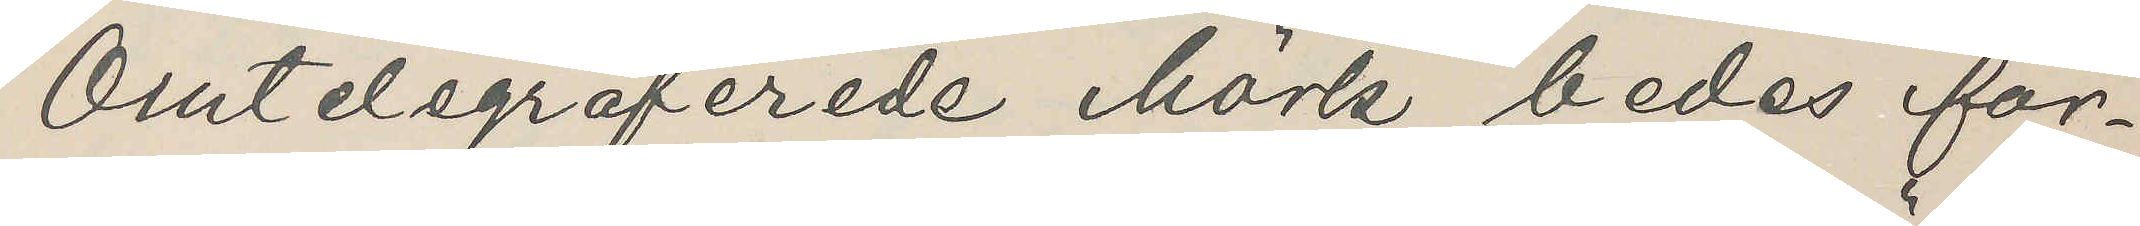Omtelegraferede Mörk bedes for¬
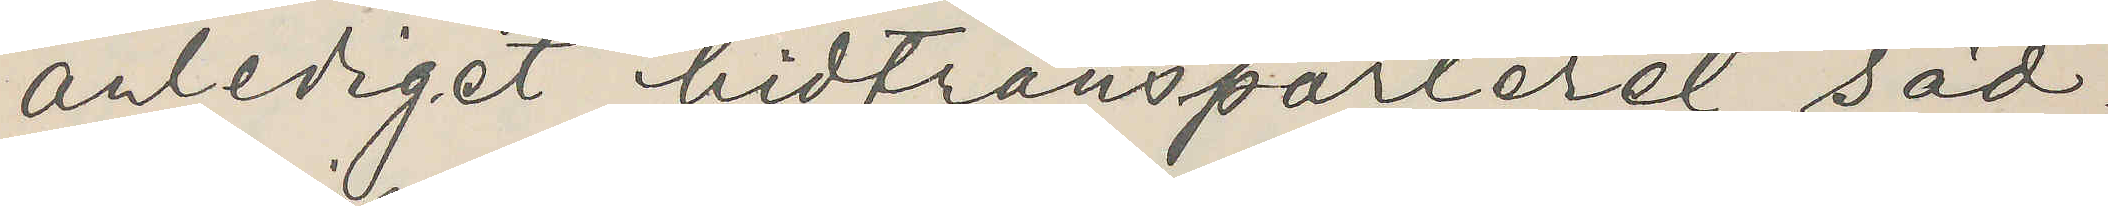anlediget hidtransporteret säd¬
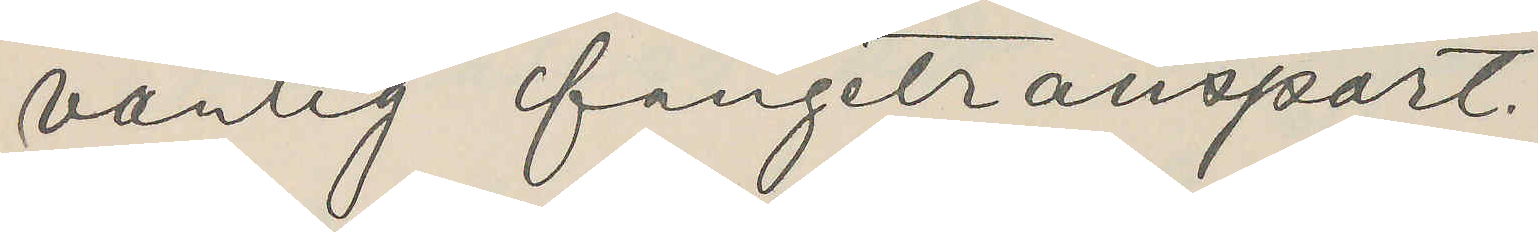vanlig fangetransport.
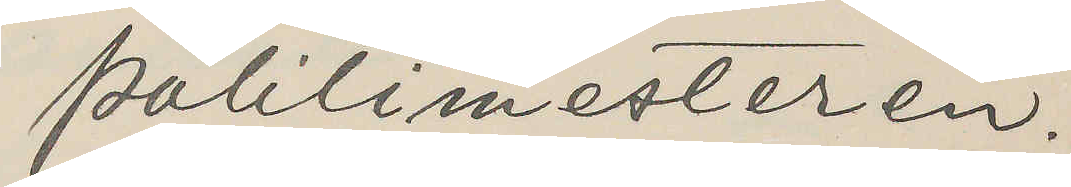Politimesteren.
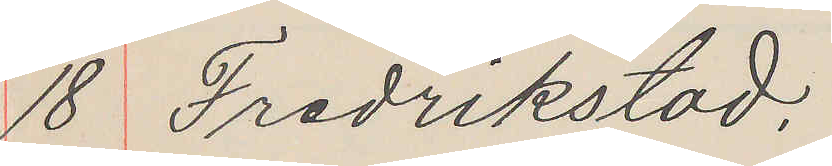18 Fredrikstad.
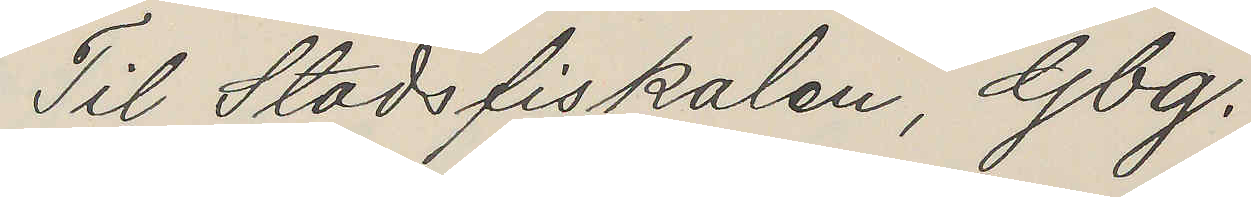Til Stadsfiskalen, Gbg.
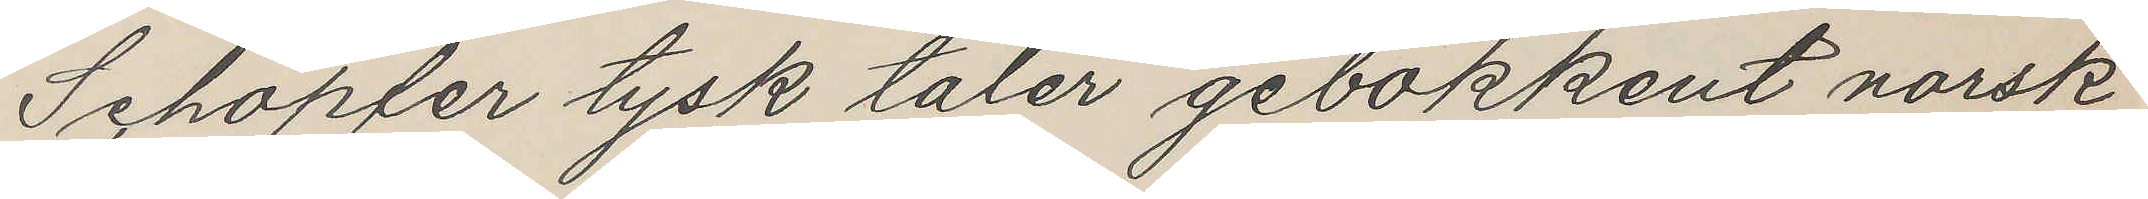Schöpfer tysk taler gebokkent norsk
